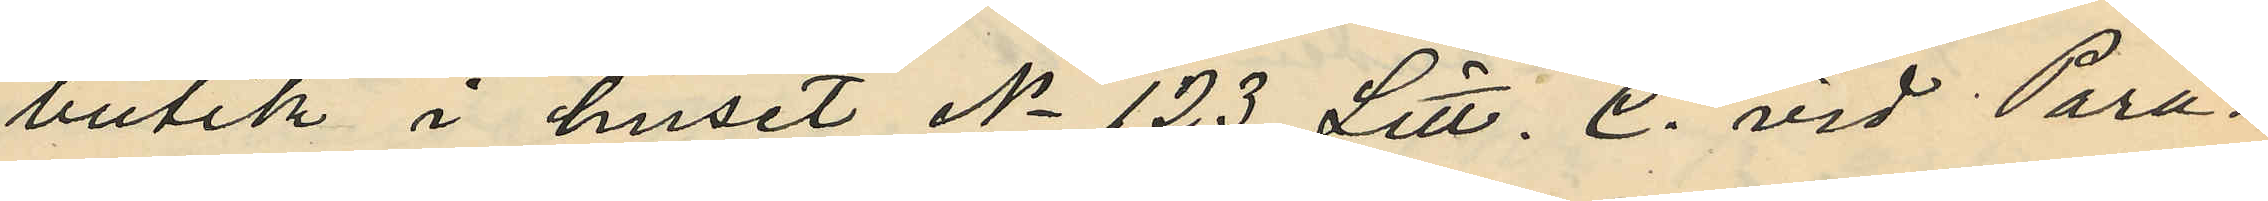butik i huset No 123 Litt. C. vid Para¬
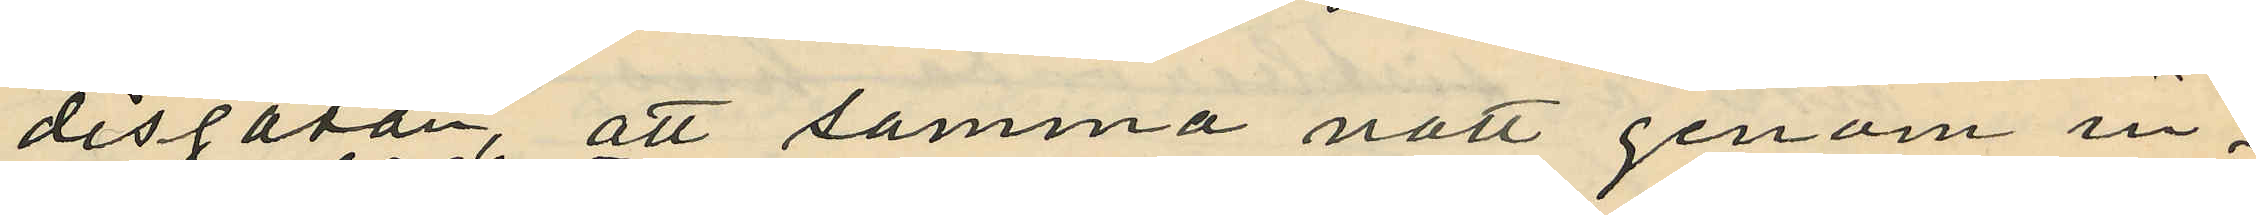disgatan, att samma natt genom in¬
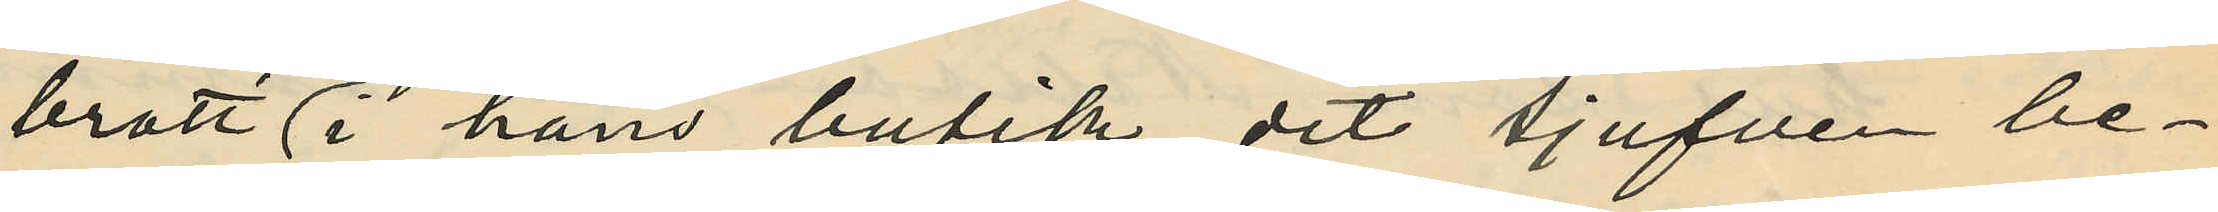brott i hans butik, dit tjufven be¬
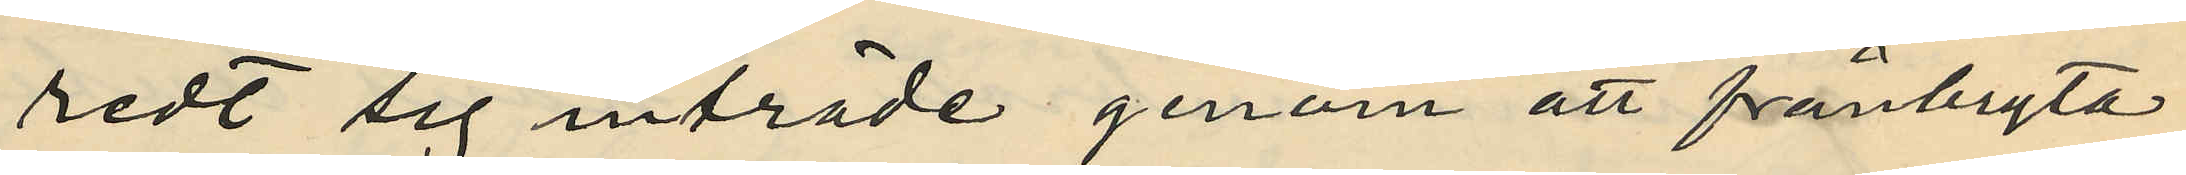redt sig inträde genom att frånbryta
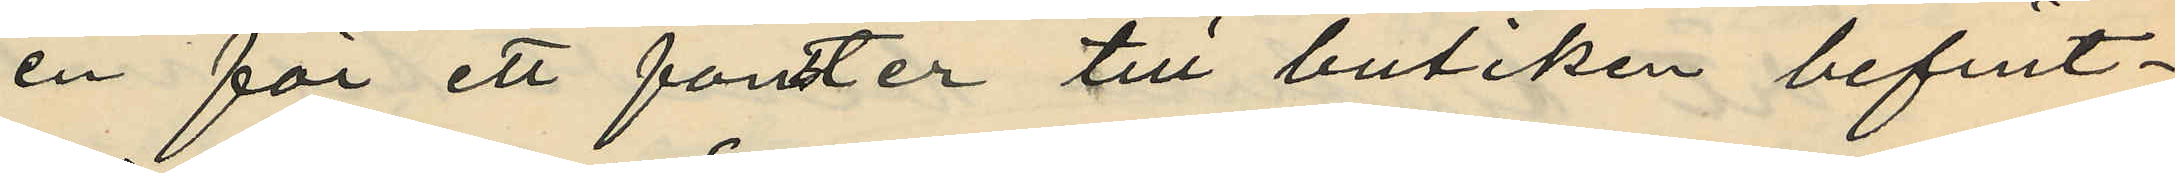en för ett fönster till butiken befint¬
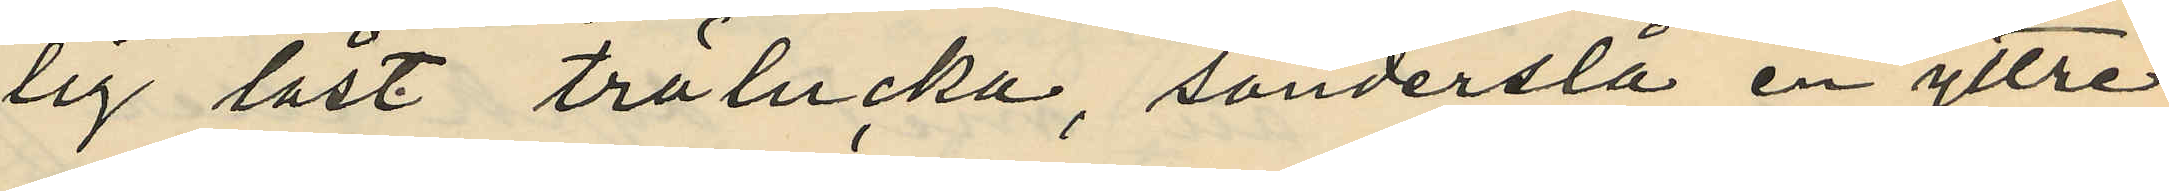lig låst trälucka, sönderslå en yttre
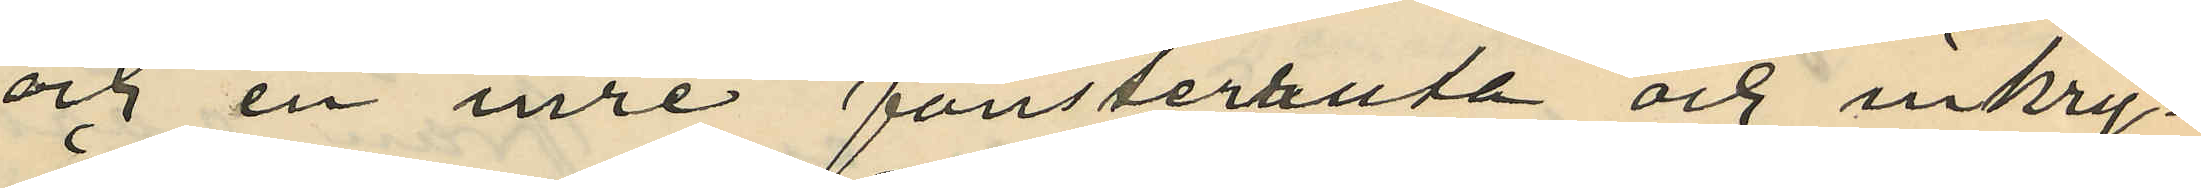och en inre fönsterruta och inkry¬
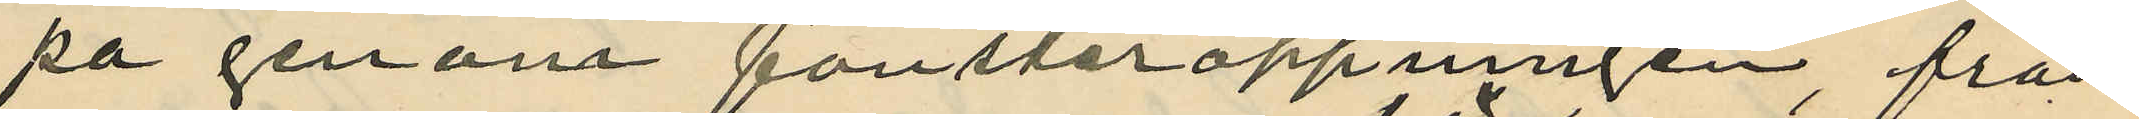pa genom fönsteröppningen, från
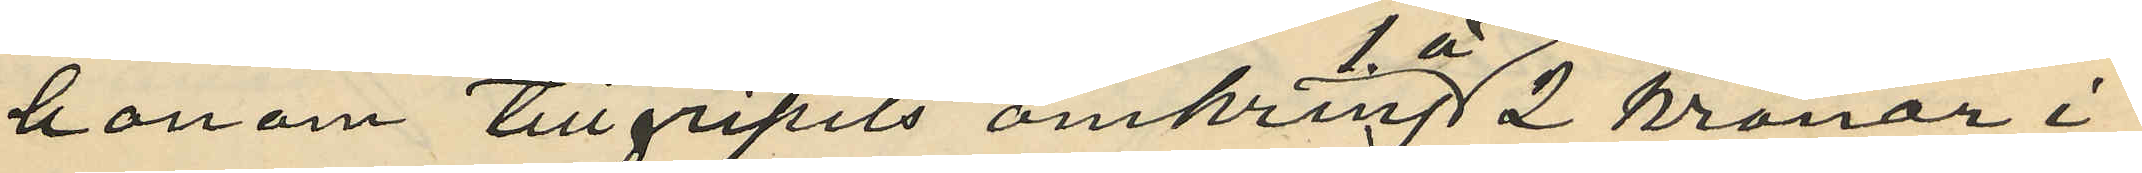honom tillgripits omkring 1 á 2 kronor i
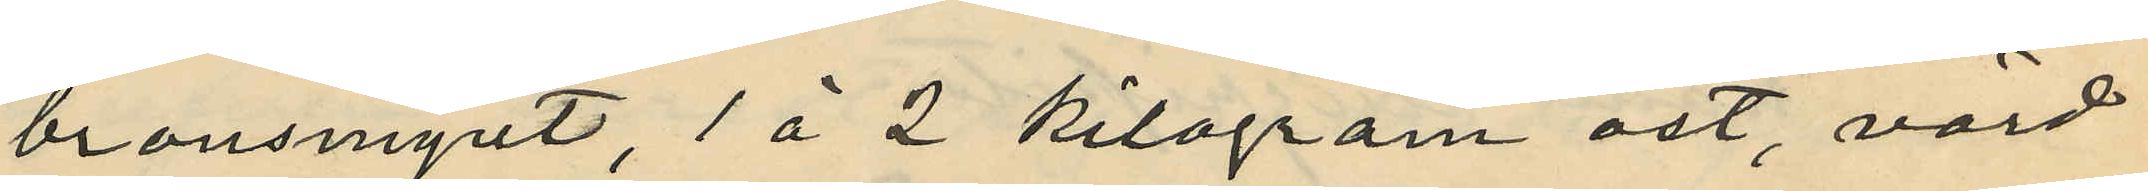bronsmynt, 1 à 2 kilogram ost, värd
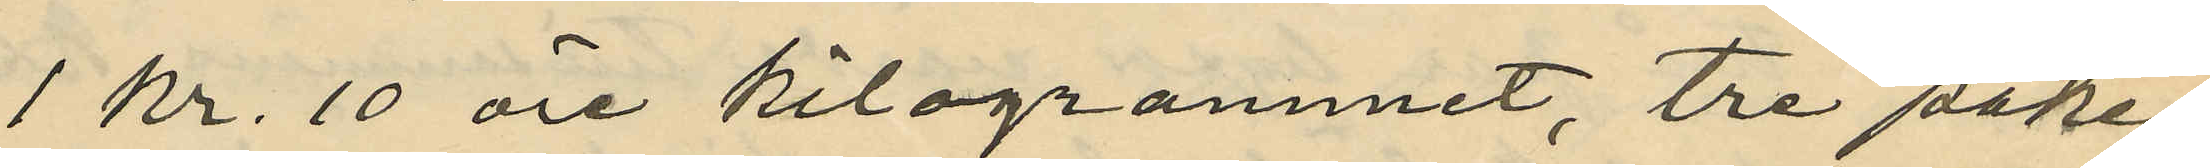1 kr. 10 öre kilogrammet, tre pake¬
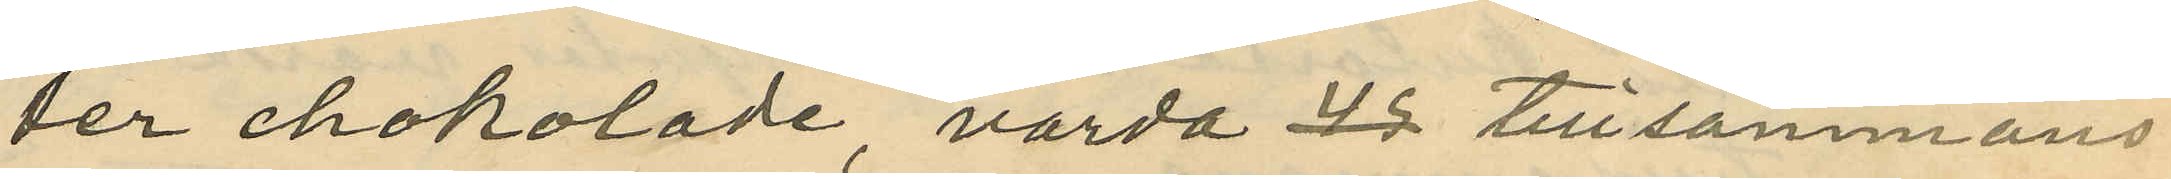ter chokolade, värda tillsammans
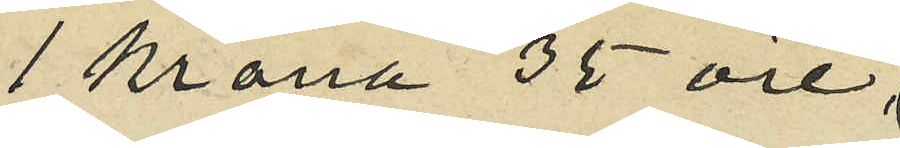1 krona 35 öre,
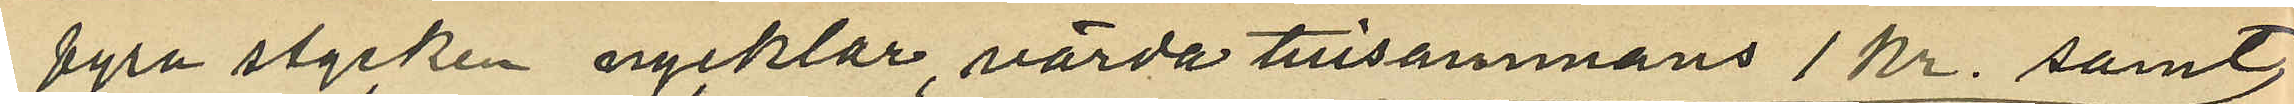fyra stycken nycklar, värda tillsammans 1 kr. samt
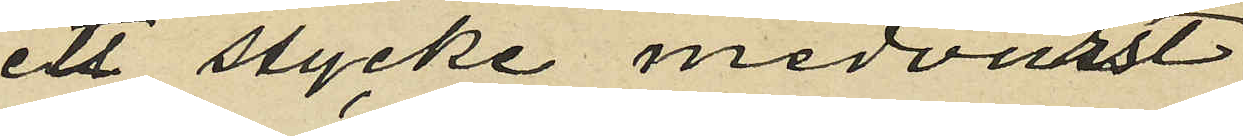ett stycke medvurst
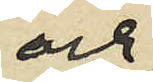och
